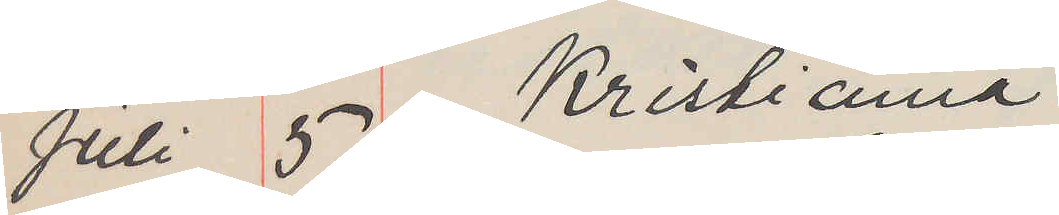Juli 5 Kristiania
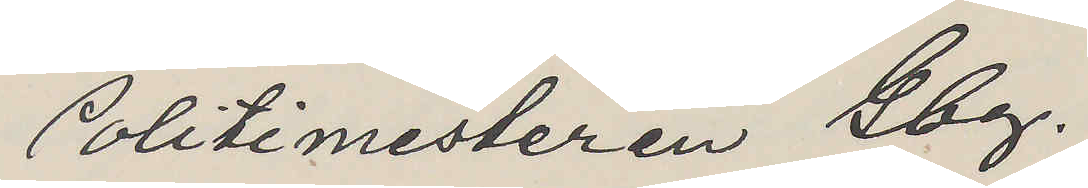Politimesteren Gbg.
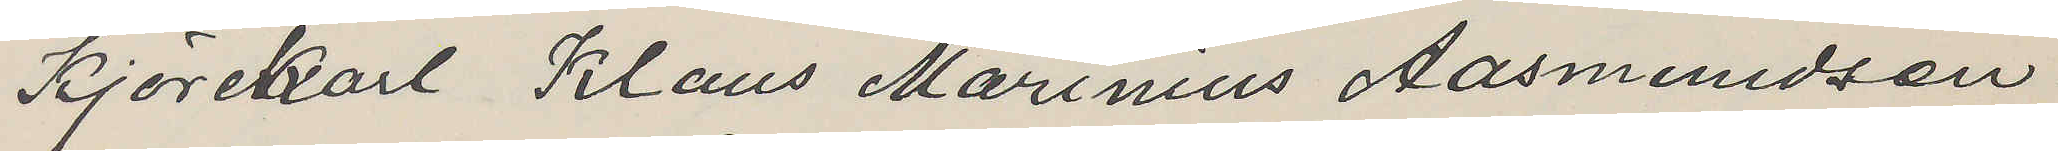Kjörekarl Klaus Marinius Aasmundsen
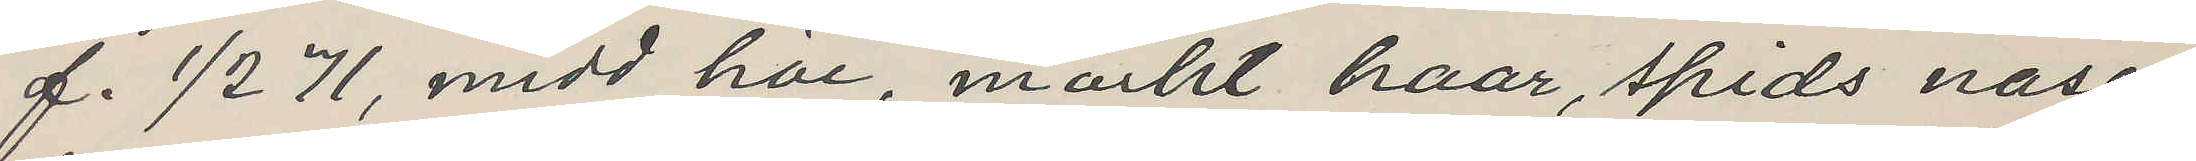f. 1/2 71, midd höi, mörkt haar, spids näse,
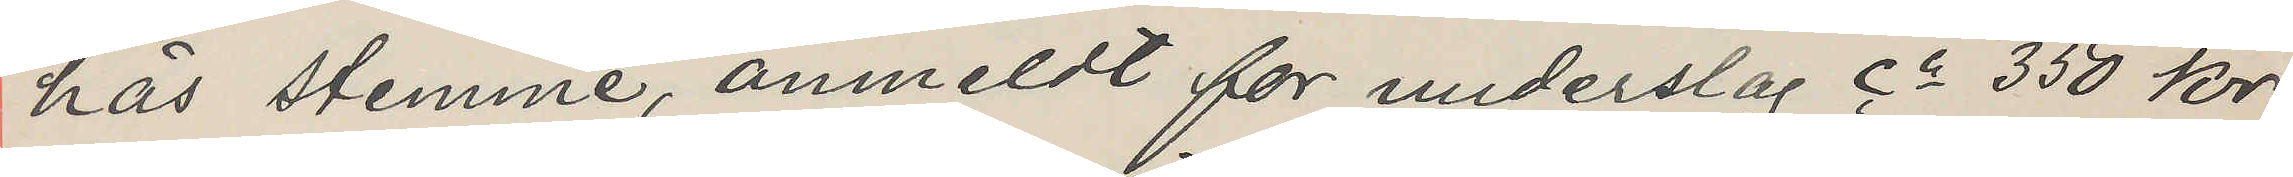häs stemme, anmeldt for underslag ca 350 kr;
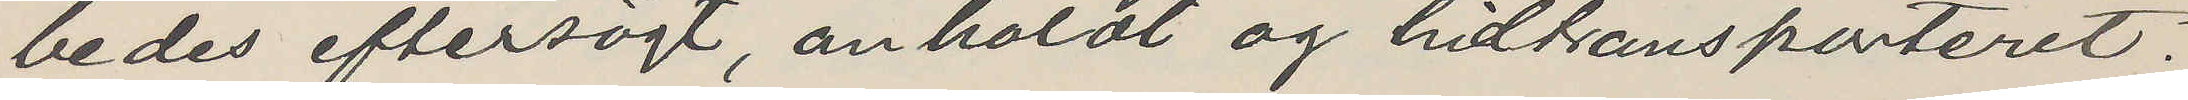bedes eftersögt, anholdt og hittransporteret.
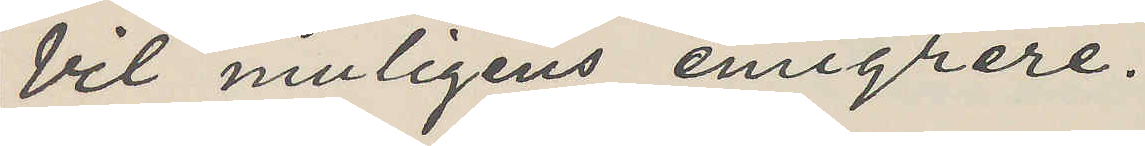Vil muligens emigrere.
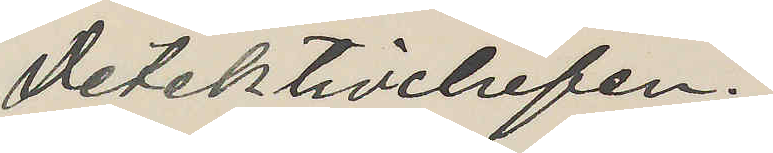Detektivchefen.
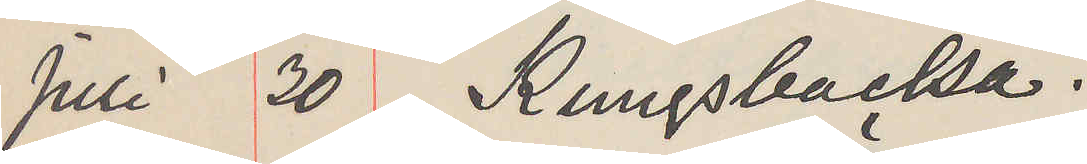Juli 30 Kungsbacka.
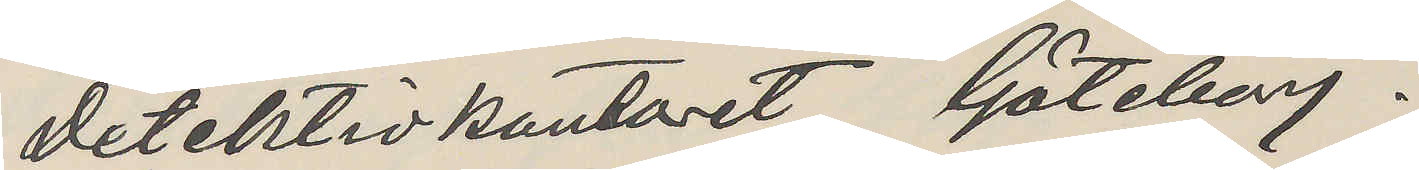Detektivkontoret Göteborg.
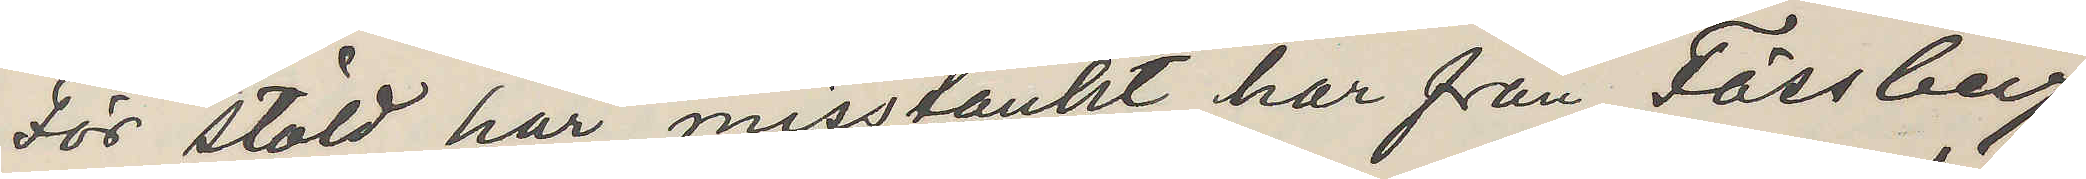För stöld här misstänkt har från Fässberg
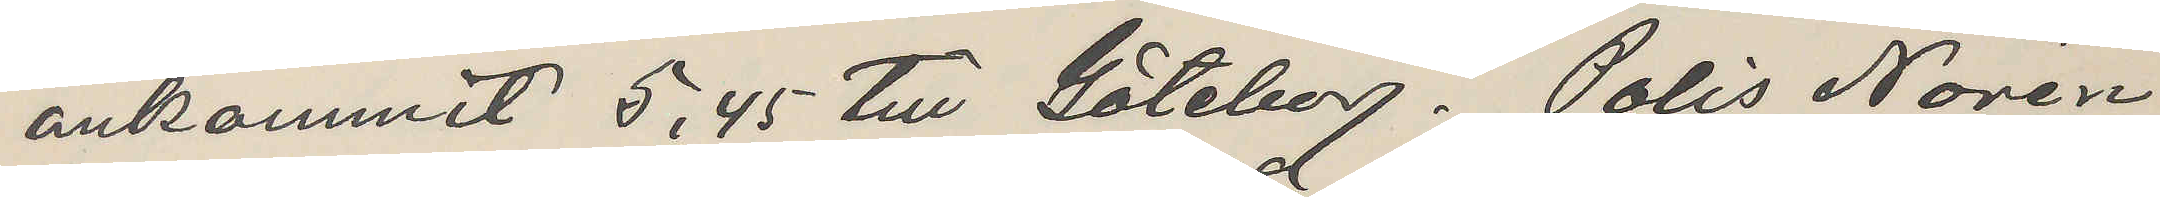ankommit 5,45 till Göteborg. Polis Norén
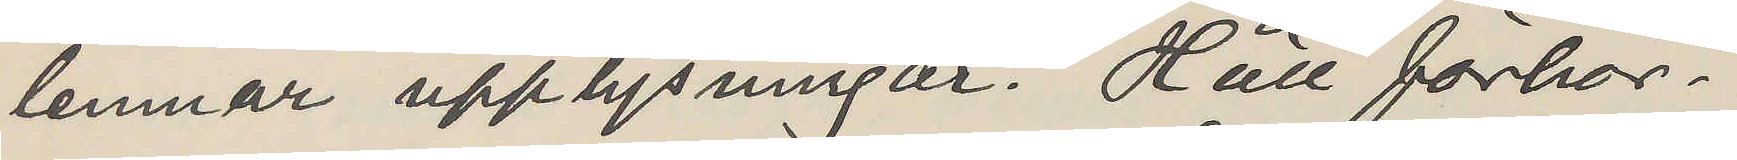lemnar upplysningar. Håll förhör.
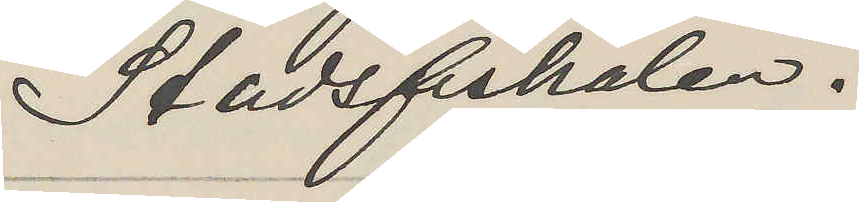Stadsfiskalen.
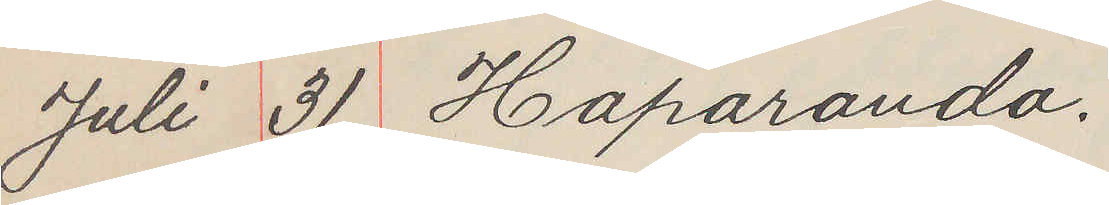Juli 31 Haparanda.
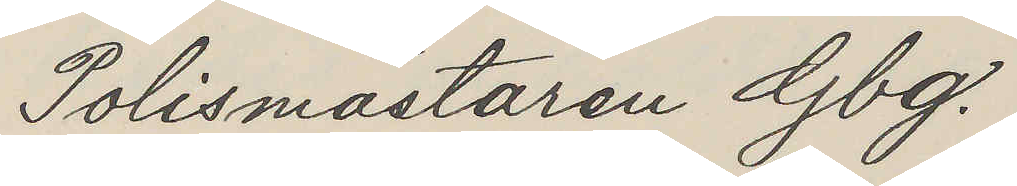Polismästaren Gbg.
